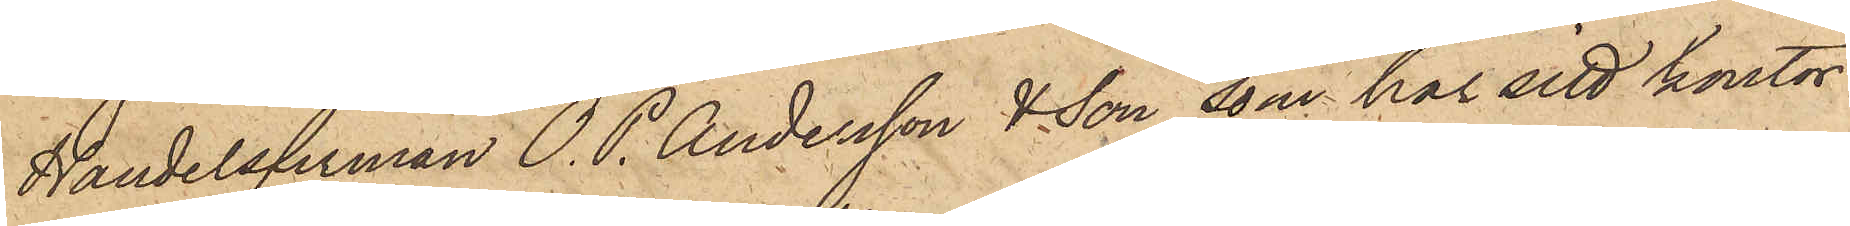Handelsfirman O. P. Andersson & Son, som har sitt kontor
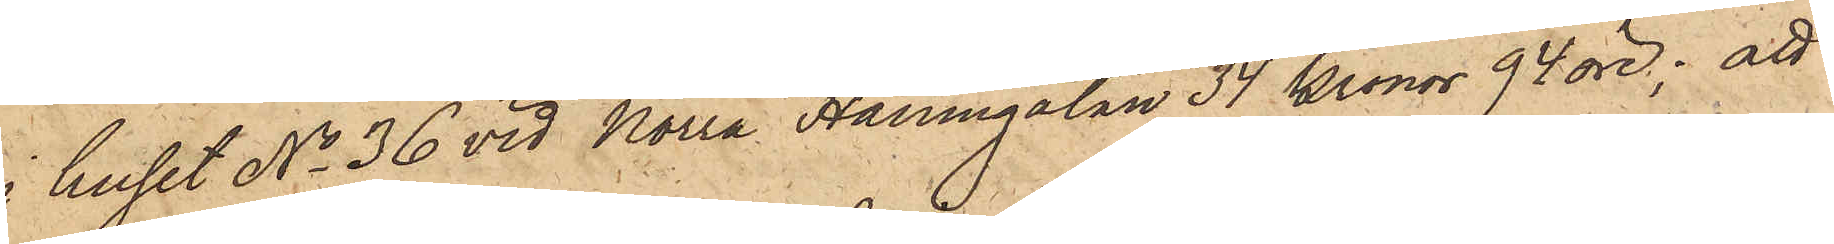i huset No 36 vid Norra Hamngatan 34 kronor 94 öre; att
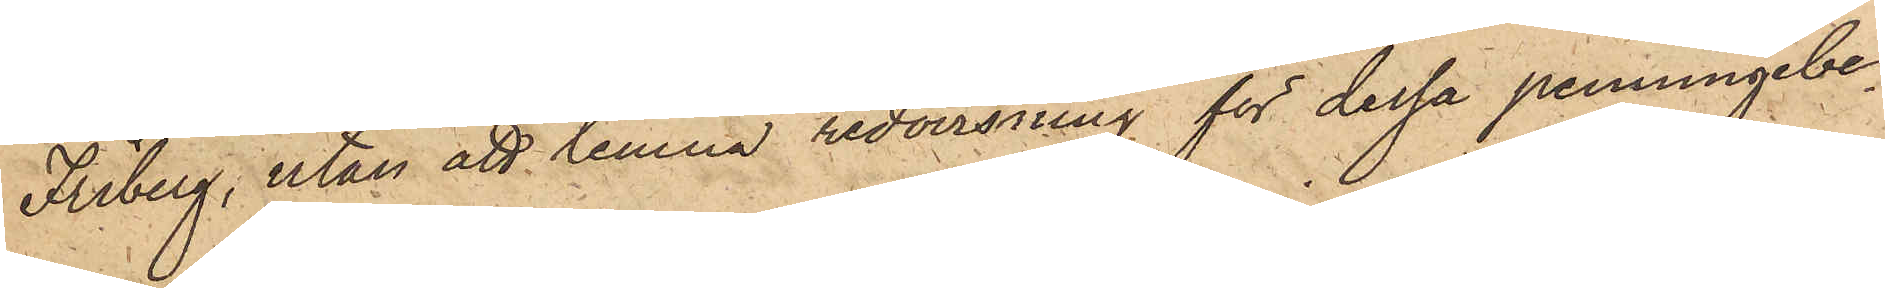Friberg, utan att lemna redovisning för dessa penningebe¬
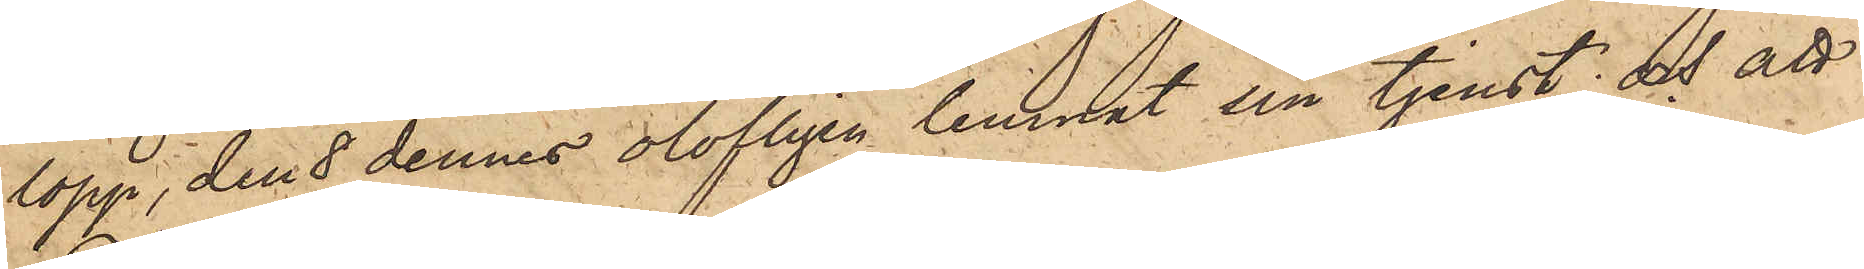lopp, den 8 dennes olofligen lemnat sin tjenst; och att
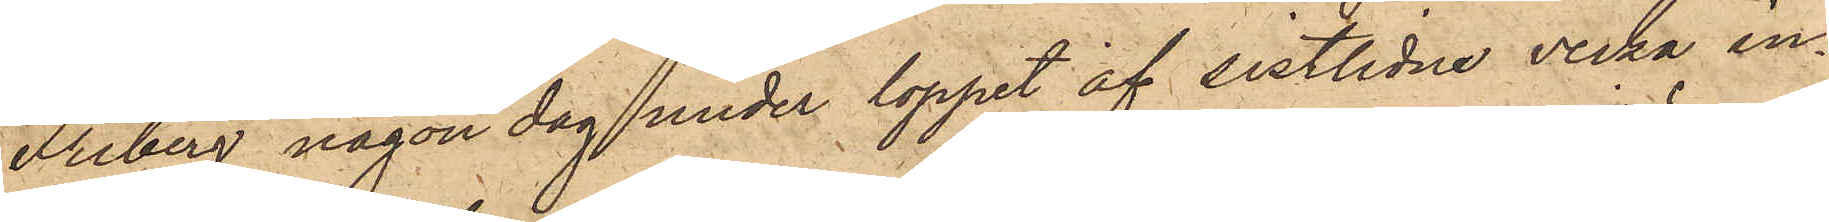Ariberg någon dag under loppet af sistlidne vecka in¬
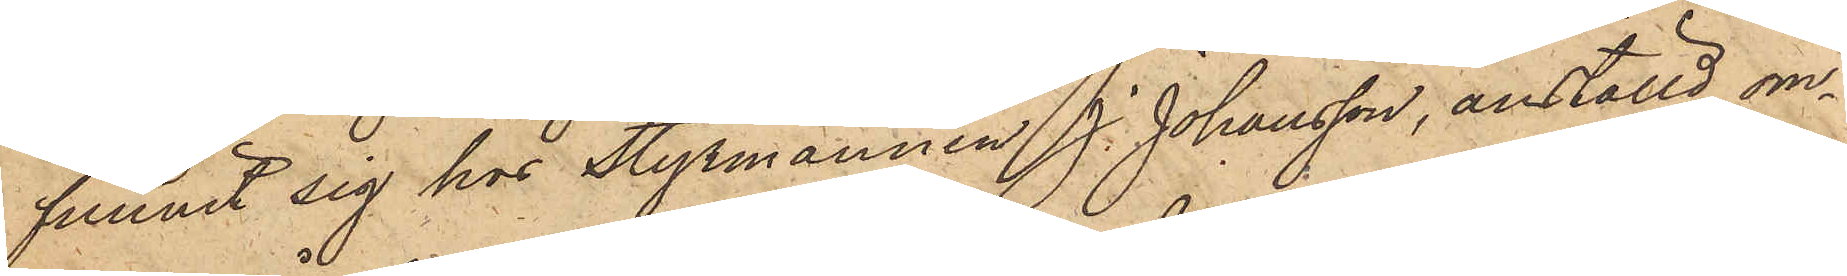funnit sig hos Styrmannen J. Johansson, anställd om¬
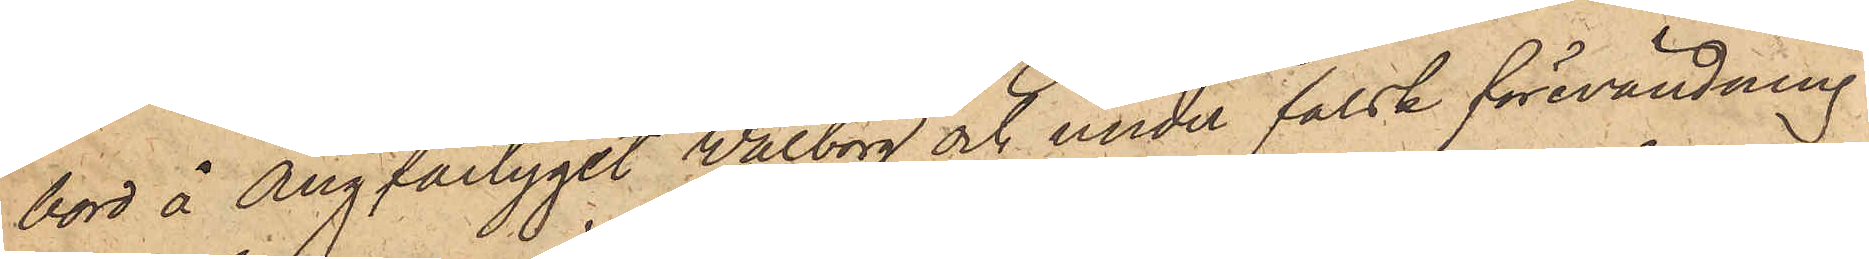bord å ångfartyget Walborg och under falsk förevändning
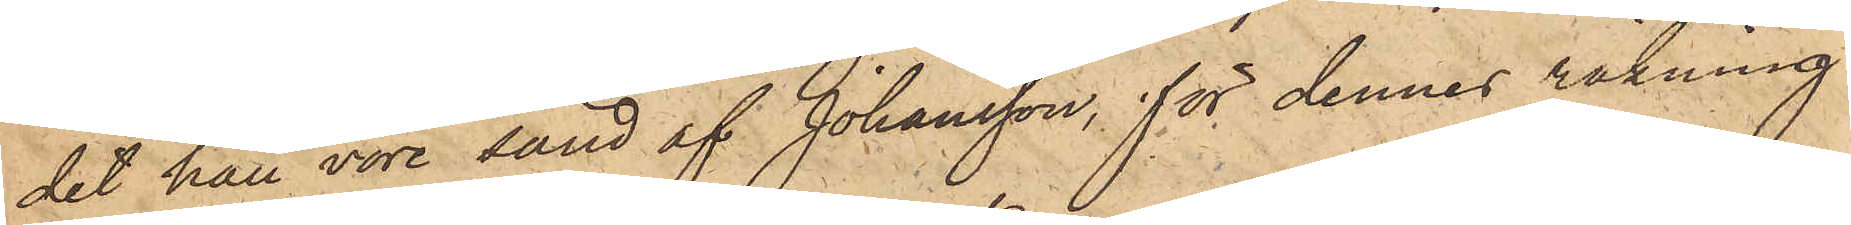det han vore sänd af Johansson, för dennes räkning
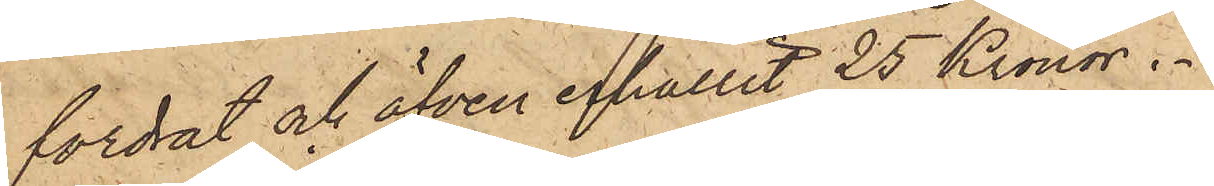fordrat och äfven erhållit 25 Kronor.
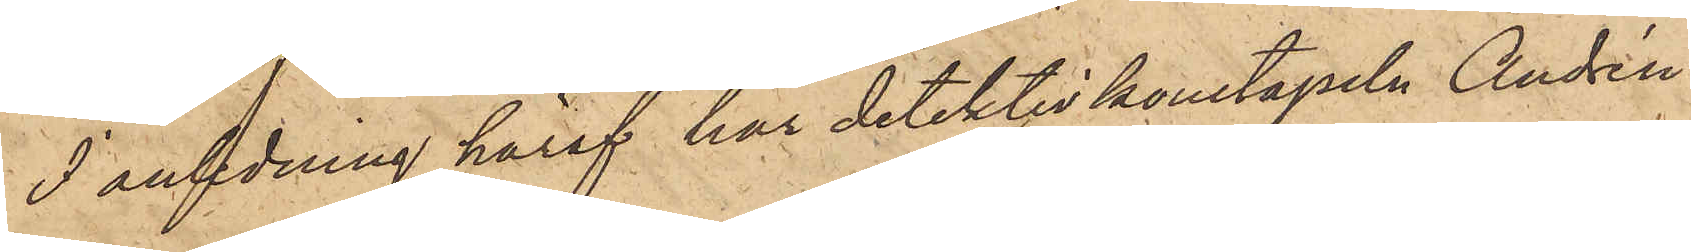I anledning häraf har detektivkonstapeln Andrén
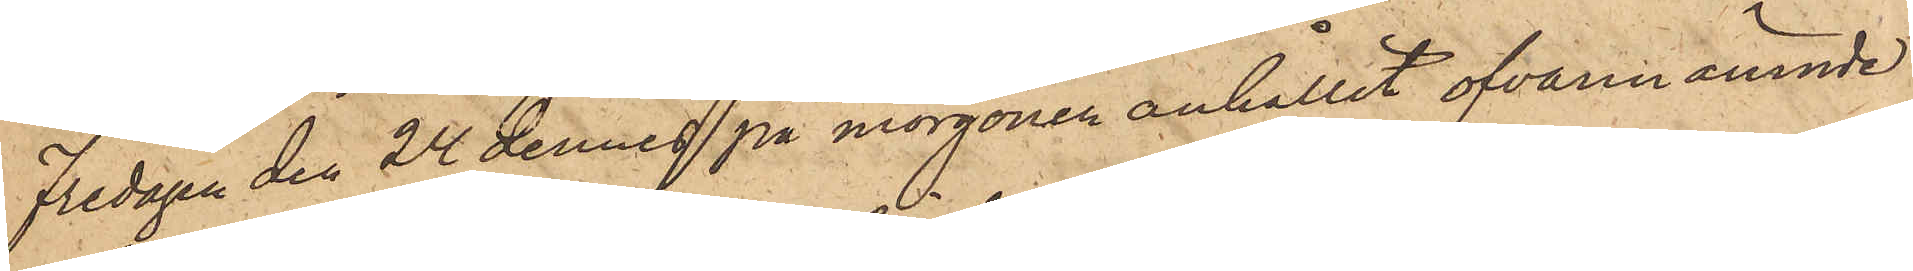Fredagen den 24 dennes på morgonen anhållit ofvannämnde
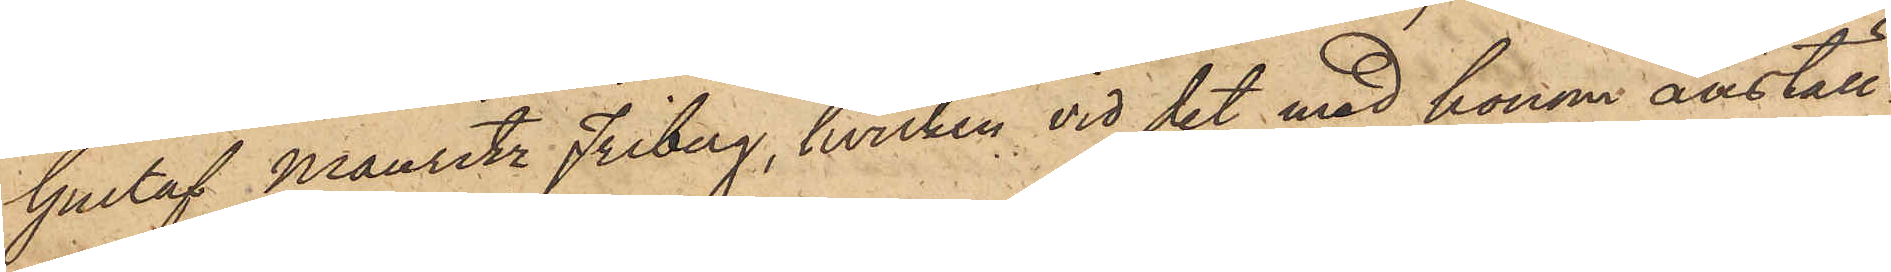Gustaf Mauritz Friberg, hvilken vid det med honom anställ¬
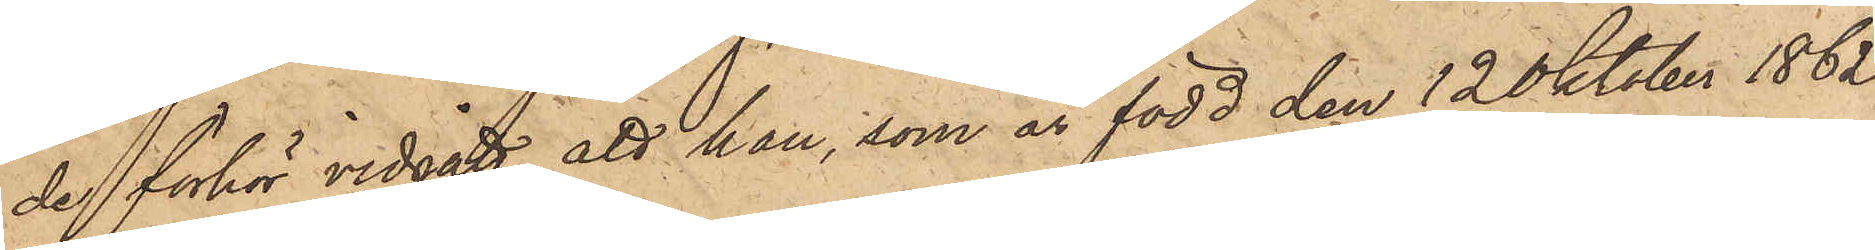de förhör vidgått, att han, som är född den 12 Oktober 1862
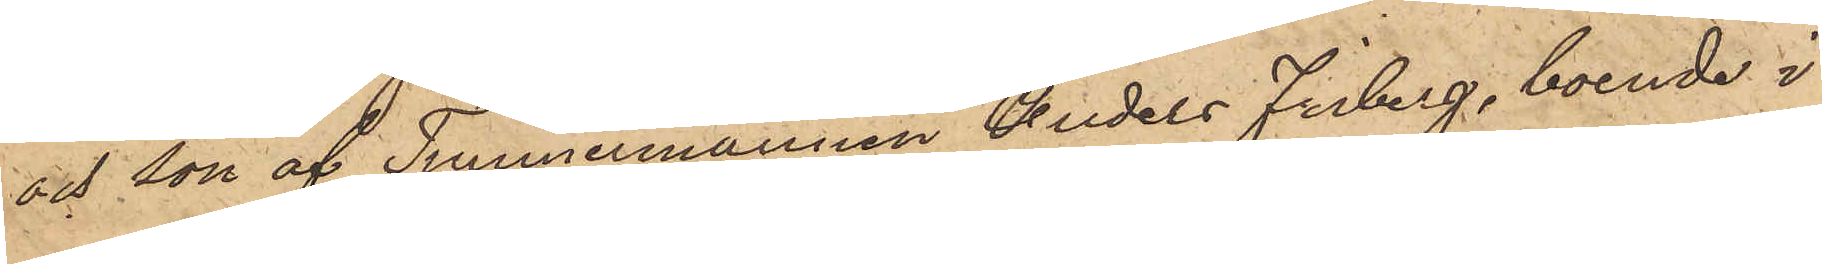och son af Timmermannen Anders Friberg, boende i
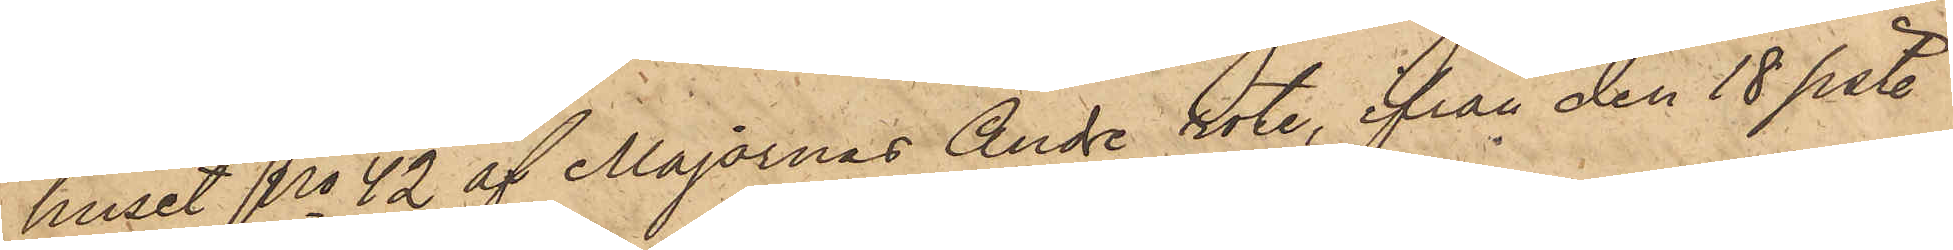huset No 42 af Majornas Andre rote, från den 18 sist.
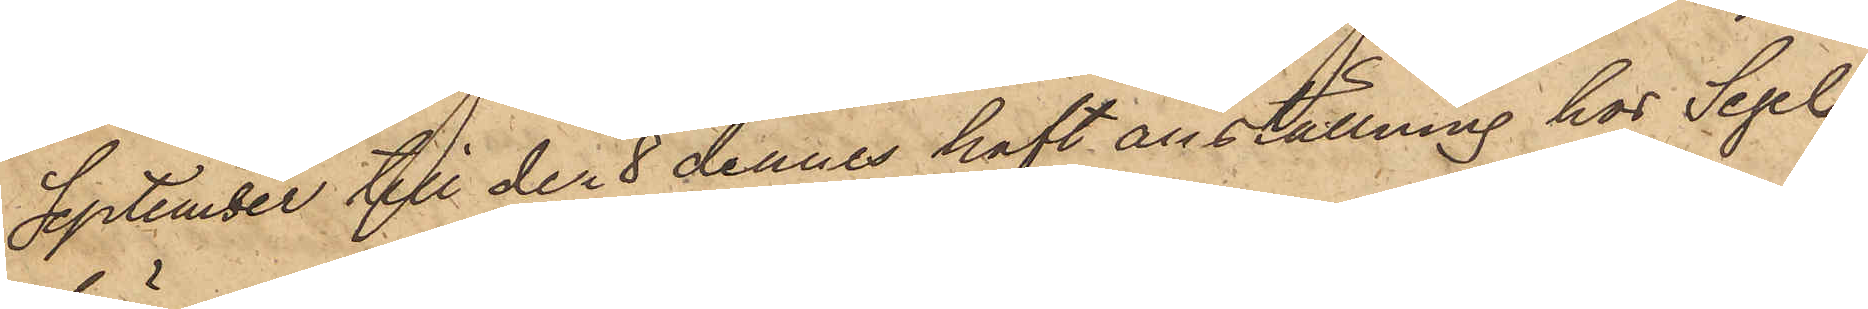September till den 8 dennes haft anställning hos Segel¬
